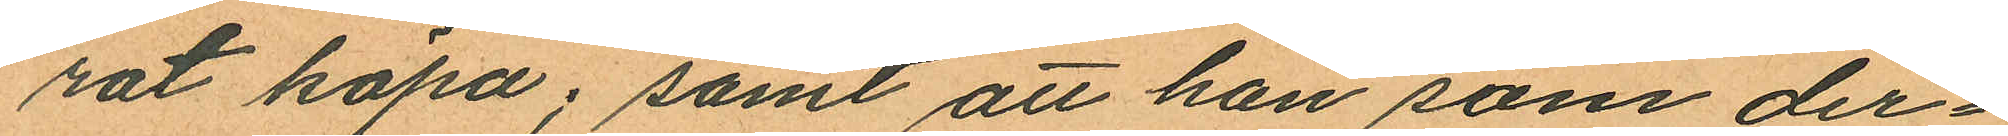rat köpa; samt att han som der¬
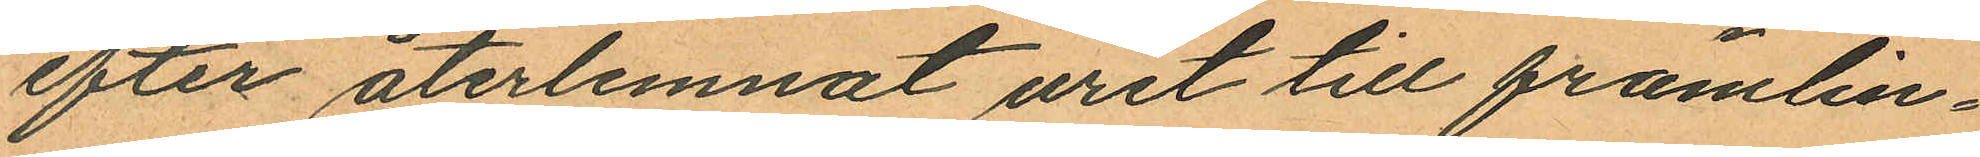efter återlemnat uret till främlin¬
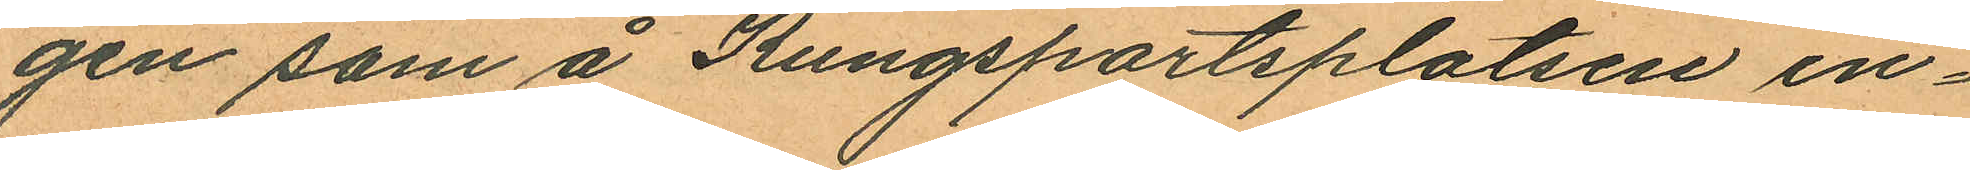gen som å Kungsportsplatsen in¬
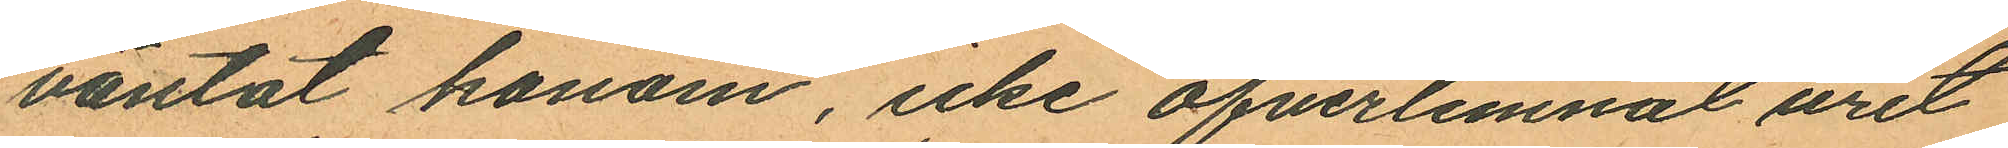väntat honom, icke öfverlemnat uret
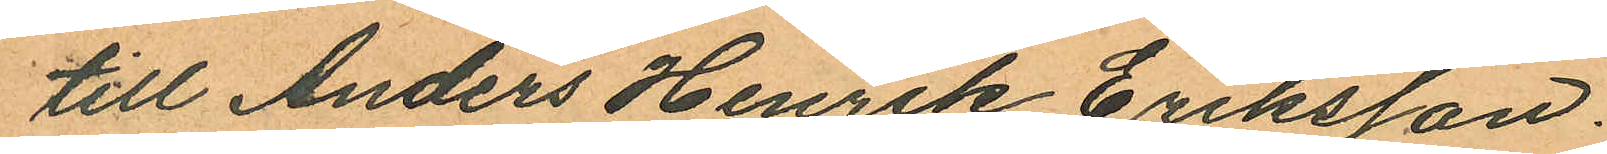till Anders Henrik Eriksson.
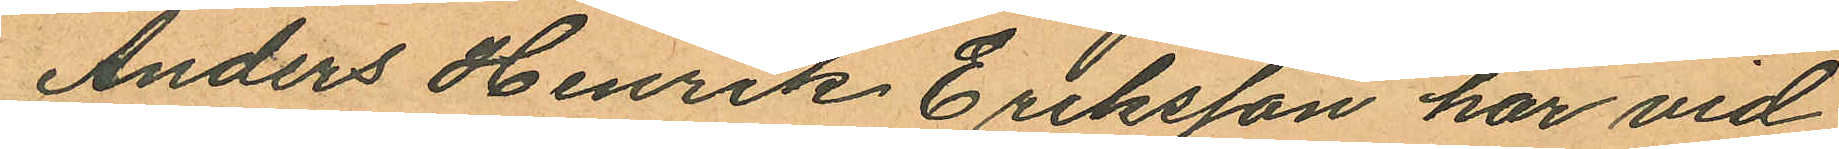Anders Henrik Eriksson har vid
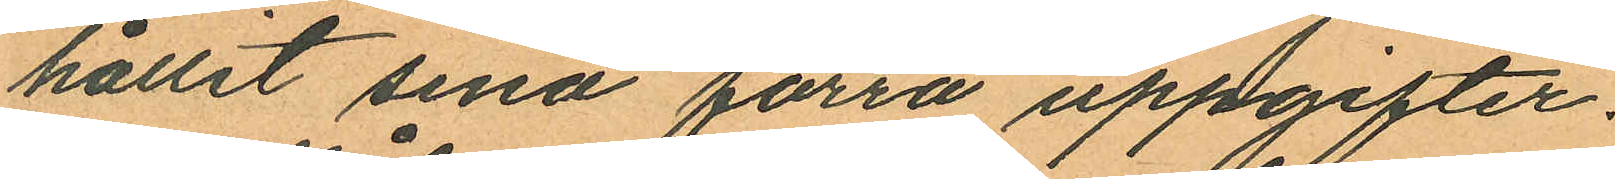hållit sina förra uppgifter.
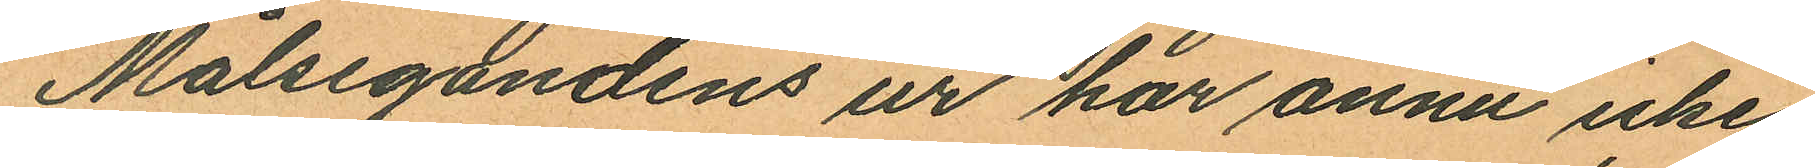Målsegandens ur har ännu icke
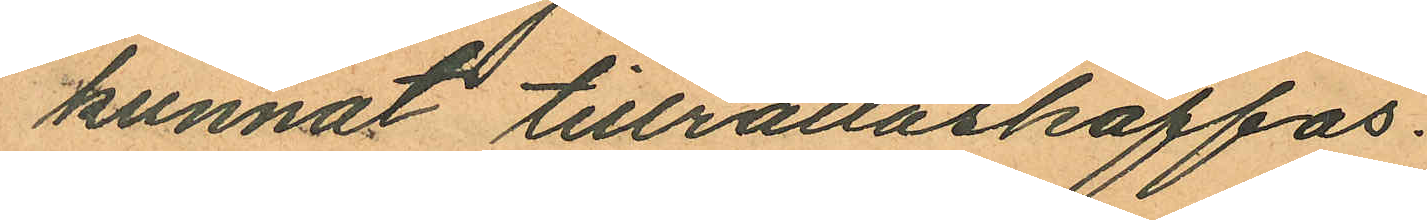kunnat tillrättaskaffas.
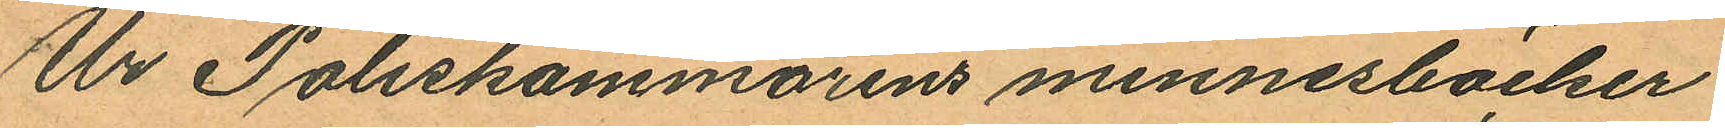Ur Poliskammarens minnesböcker
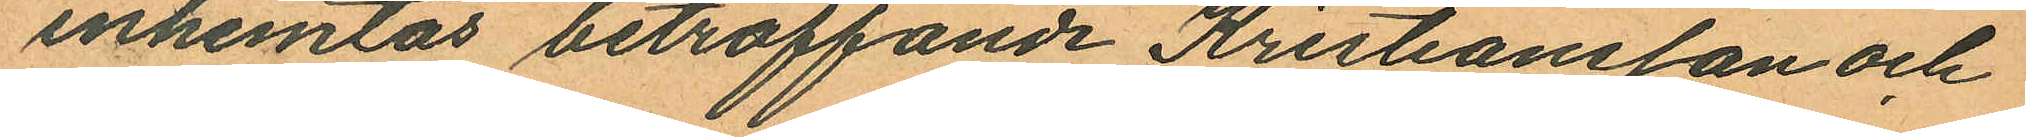inhemtas beträffande Kristiansson och
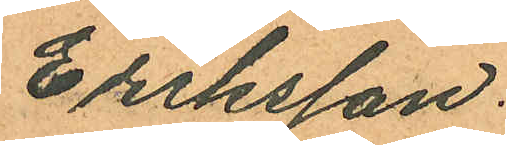Eriksson.
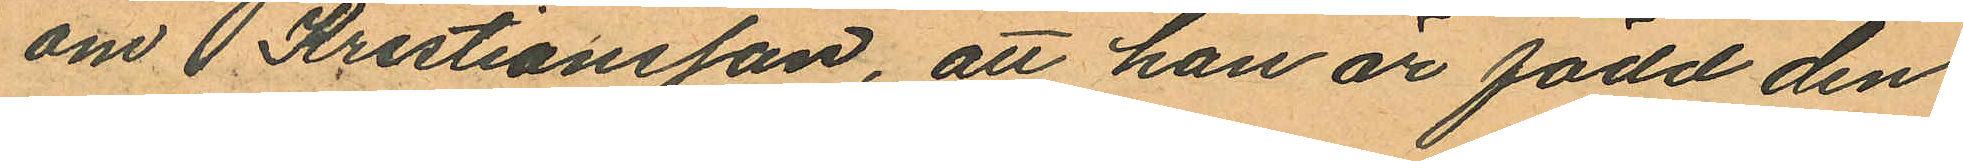om Kristiansson, att han är född den
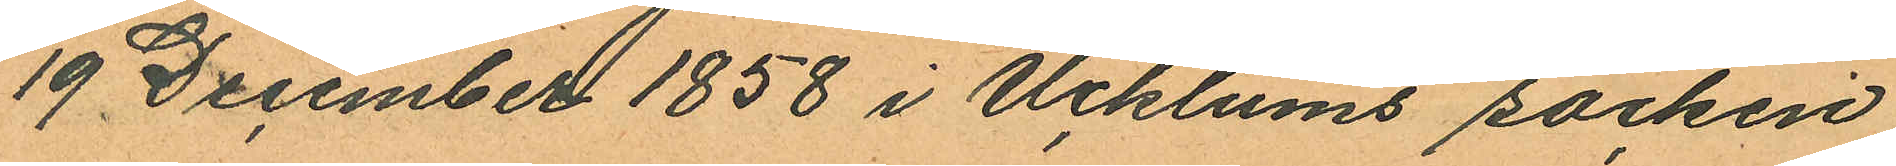19 December 1858 i Ucklums socken,
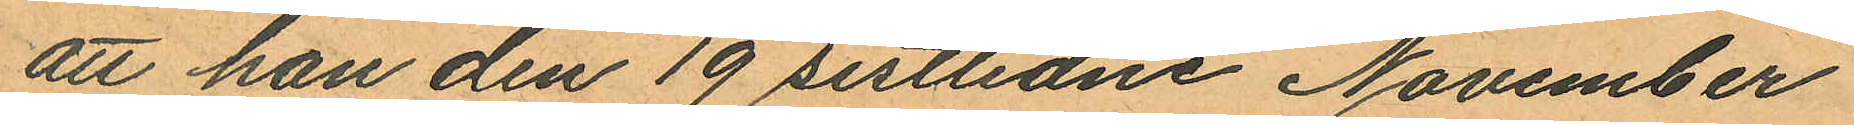att han den 19 sistlidne November
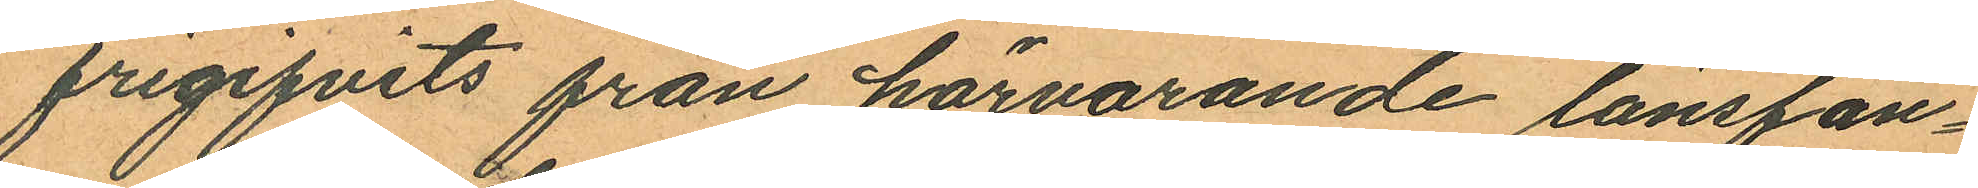frigifvits från härvarande länsfän¬
